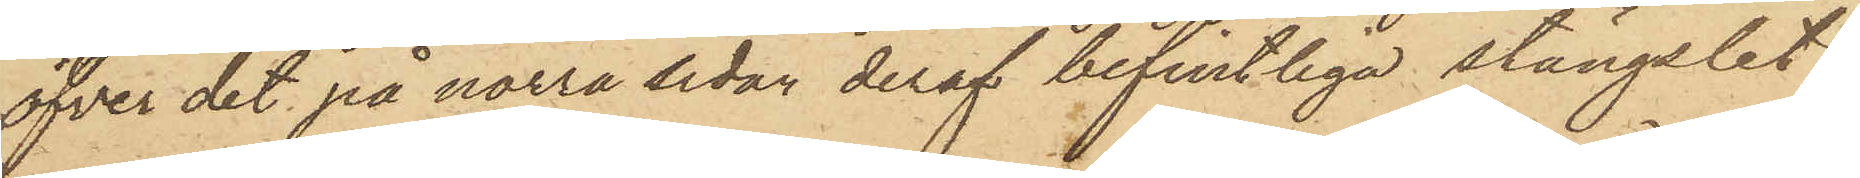öfver det på norra sidan deraf befintliga stängslet
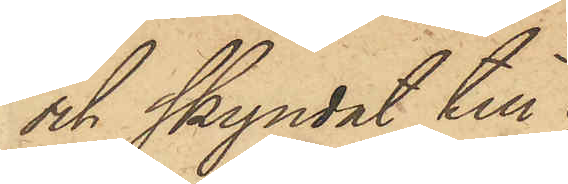och skyndat till
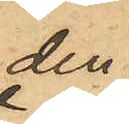den
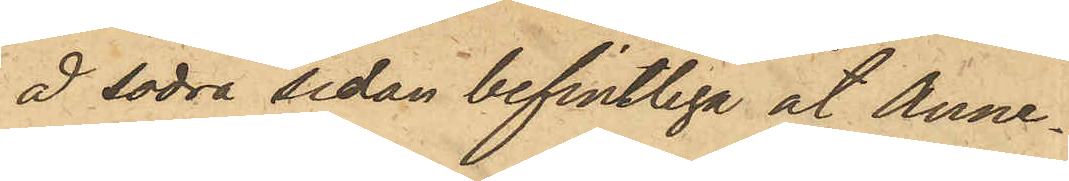å södra sidan befintliga åt Anne¬
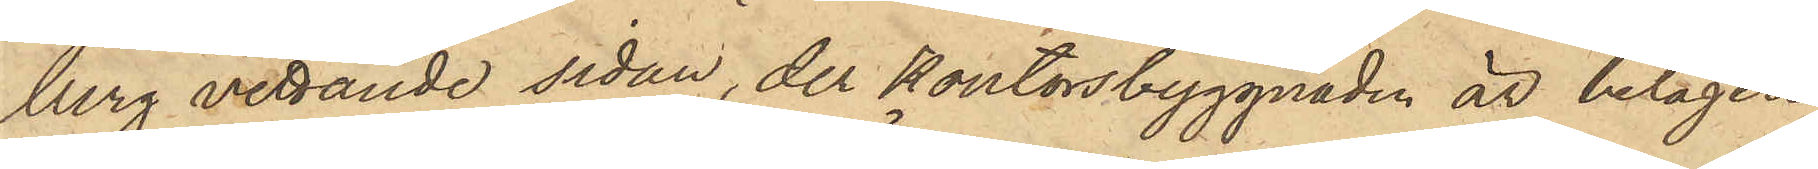berg vettande sidan, der Kontorsbyggnaden är belägen
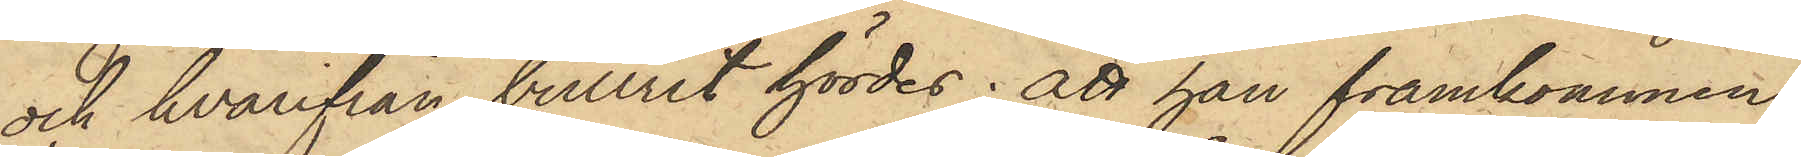och hvarifrån bullret hördes; att han framkommen
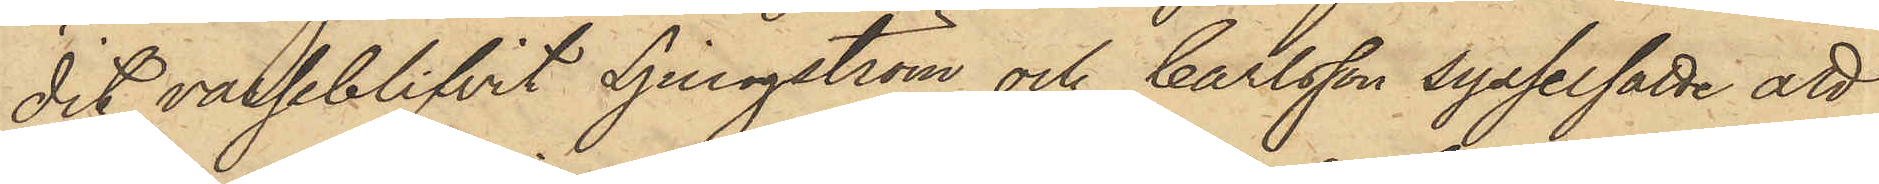dit varseblifvit Ljungström och Carlsson sysselsatte att
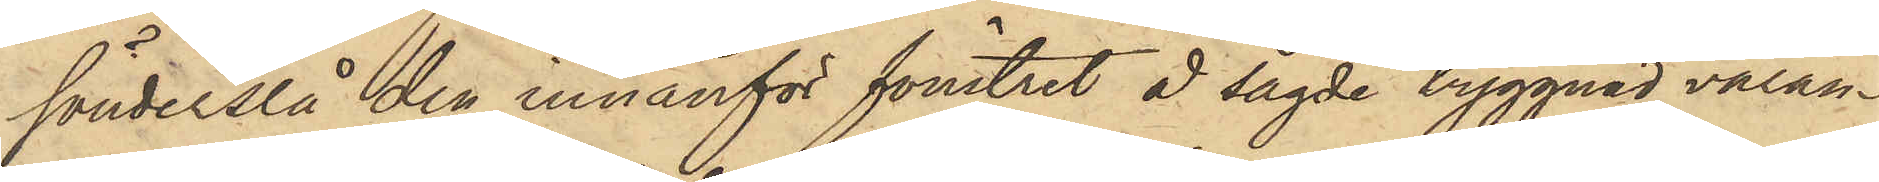sönderslå den innanför fönstret å sagde byggnad varan¬
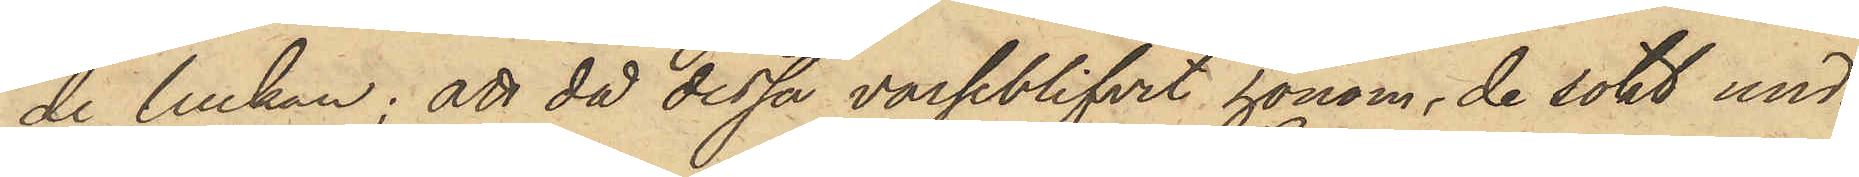de luckan; att då dessa varseblifvit honom, de sökt und¬
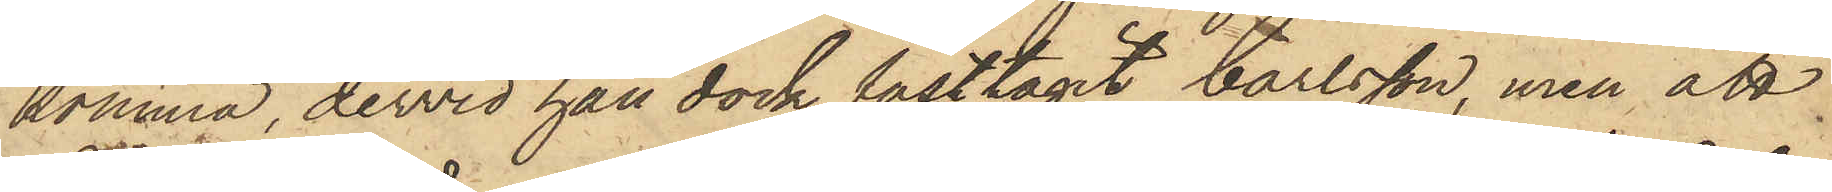komma, dervid han dock fasttagit Carlsson, men att
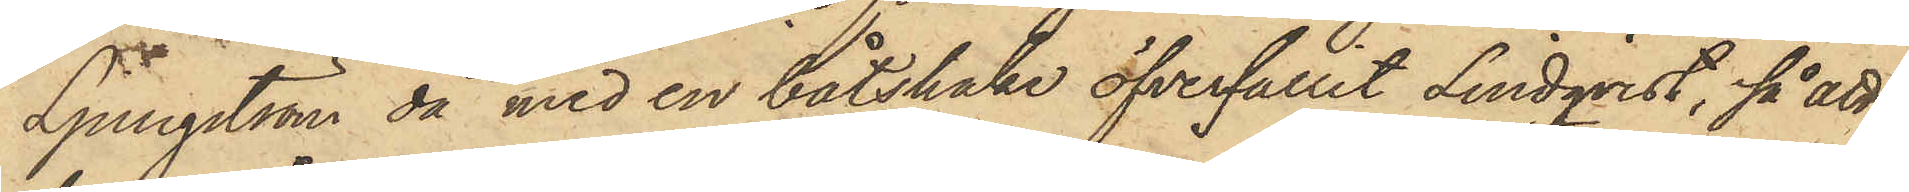Ljungström då med en båtshake öfverfallit Lindqvist, så att
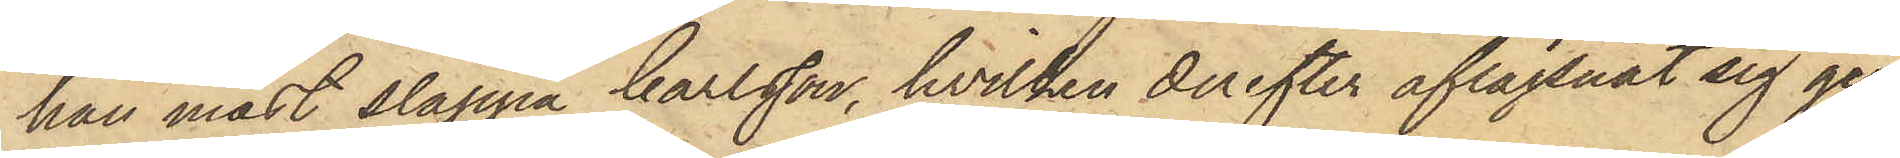han måst släppa Carlsson, hvilken derefter aflägsnat sig ge¬
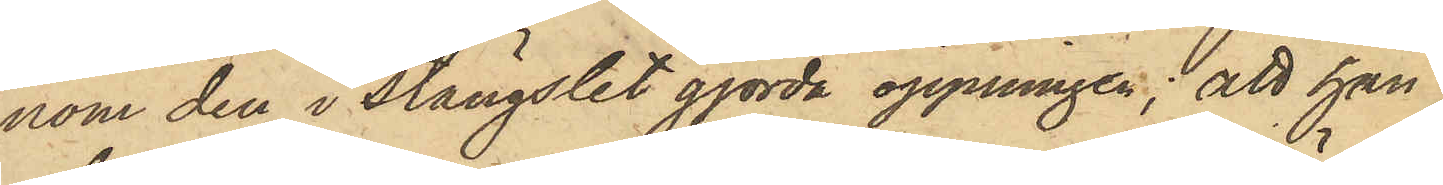nom den i stängslet gjorda öppningen; att han
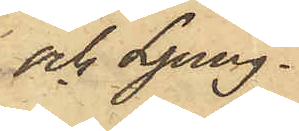och Ljung¬
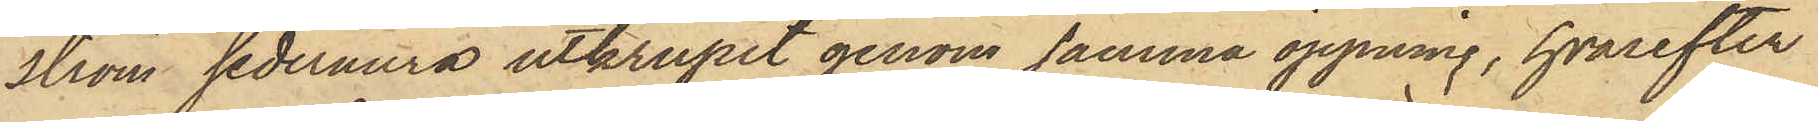ström sedermera utkrupit genom samma öppning, hvarefter
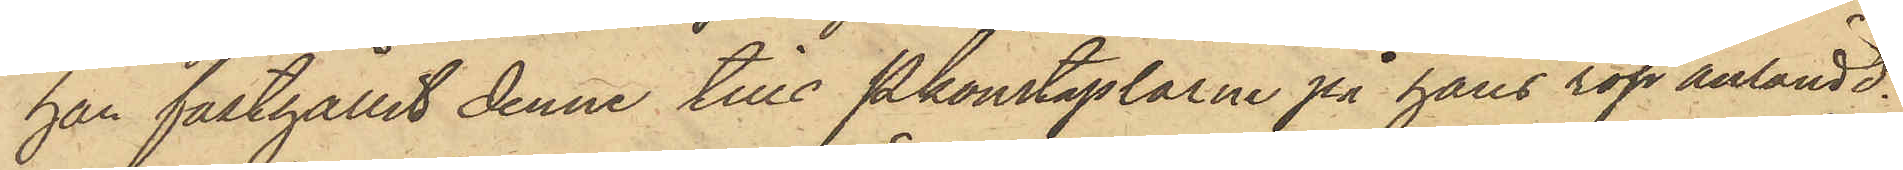han fasthållit denne, tills Pkonstaplarne på hans rop anländt.
